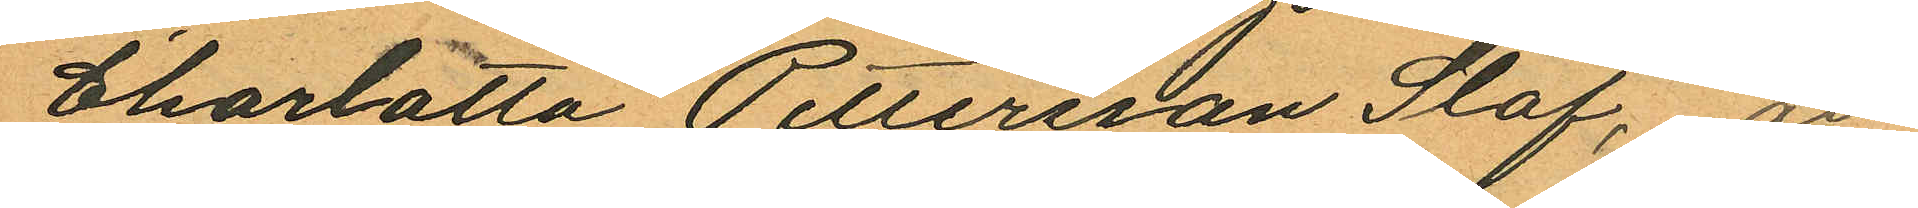Charlotta Pettersson Staf, att
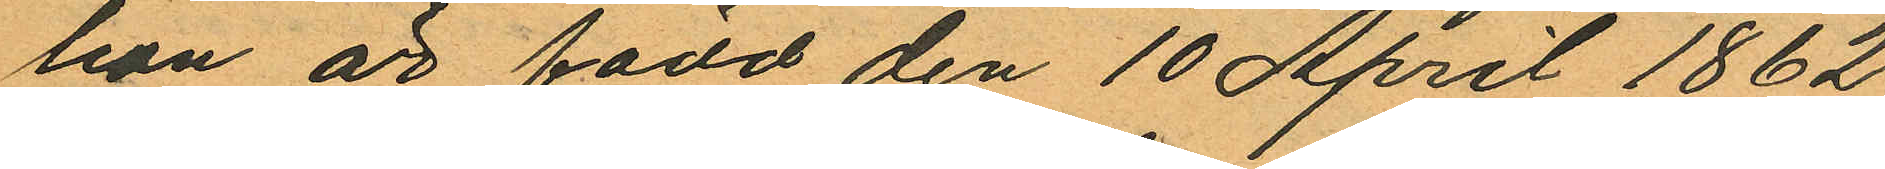hon är född den 10 April 1862
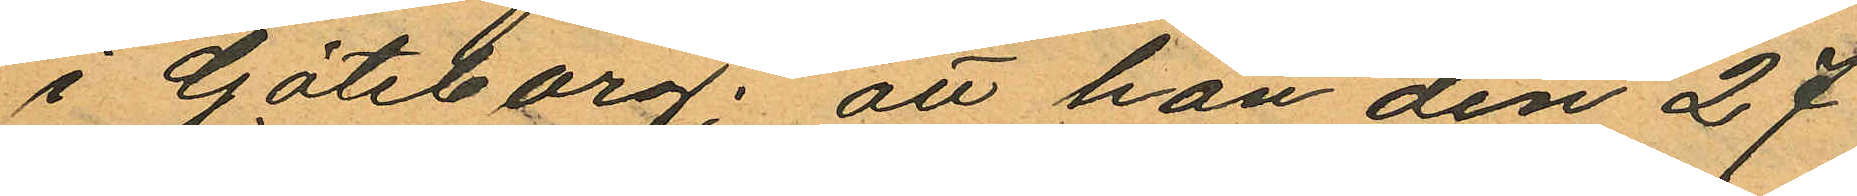i Göteborg; att hon den 27
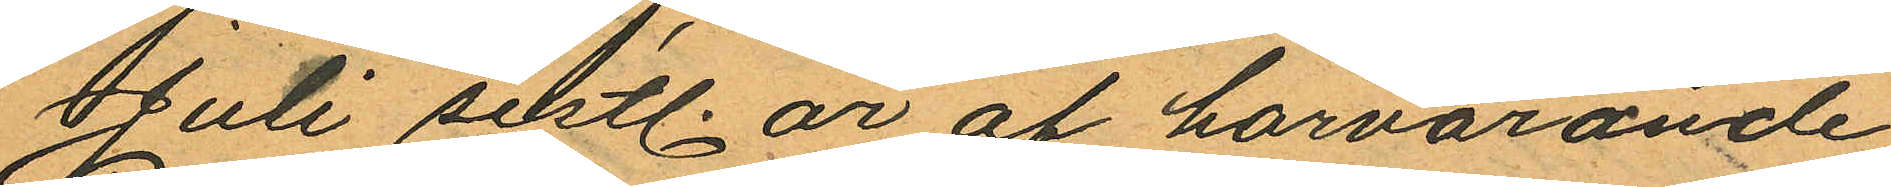Juli sistl. år af härvarande
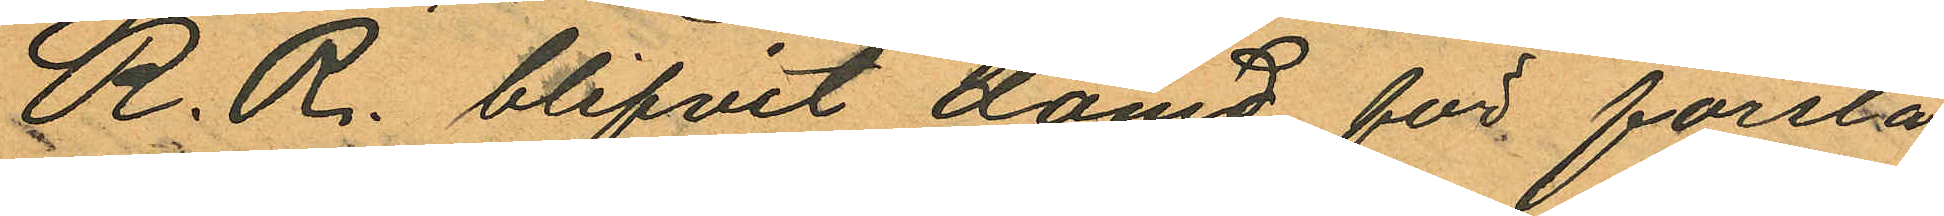R.R. blifvit dömd för första
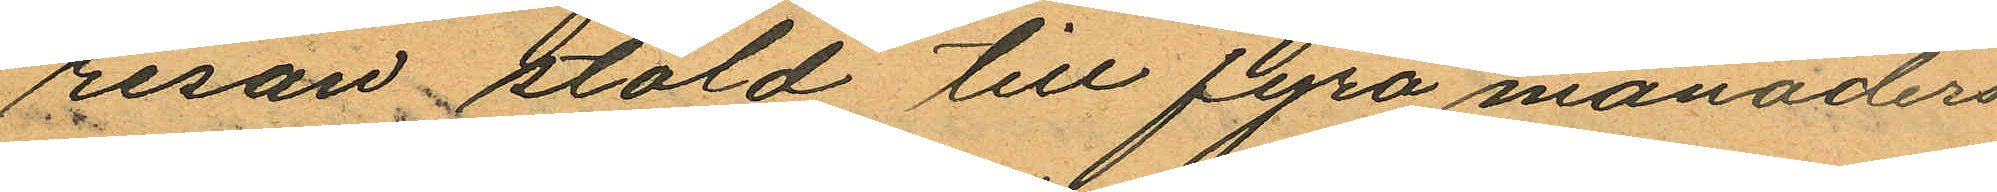resan stöld till fyra månaders
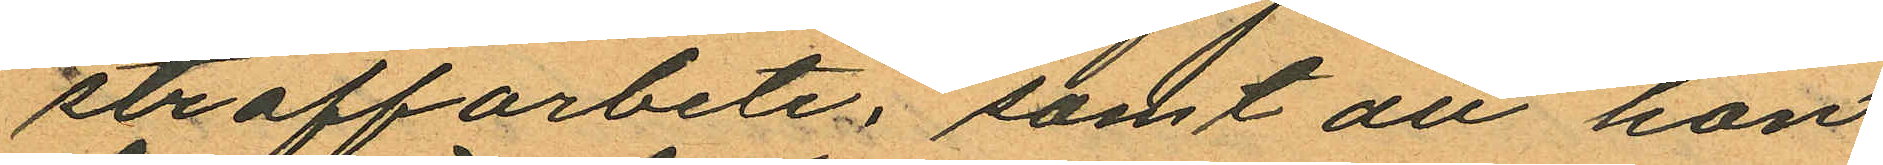straffarbete samt att hon
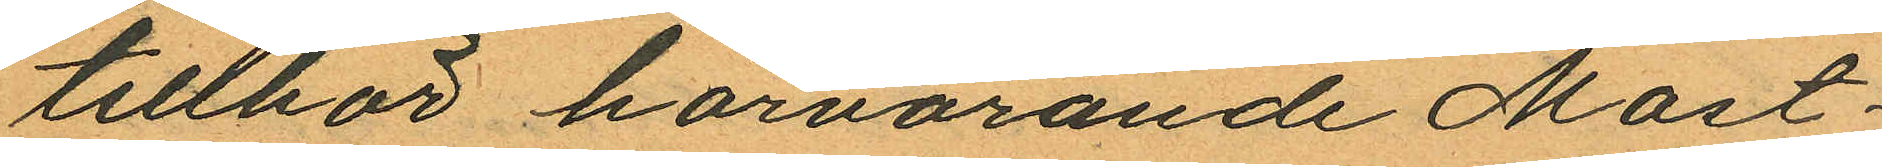tillhör härvarande Mast¬
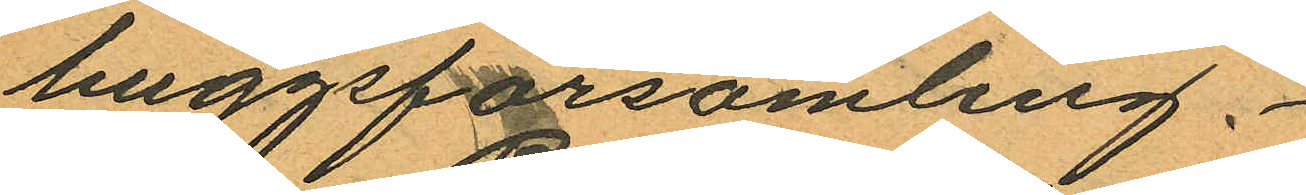huggsförsamling.
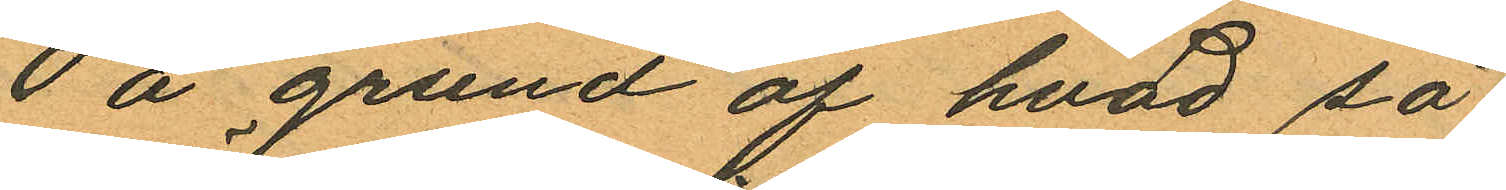På grund af hvad så
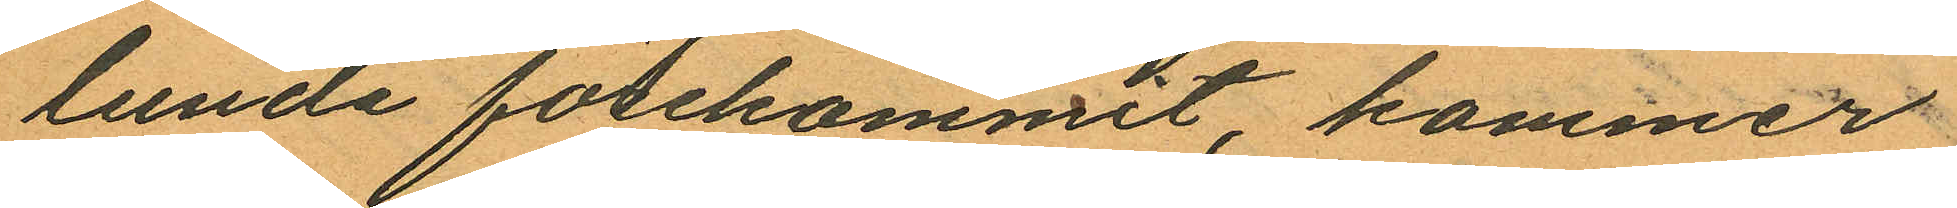lunda förekommit kommer
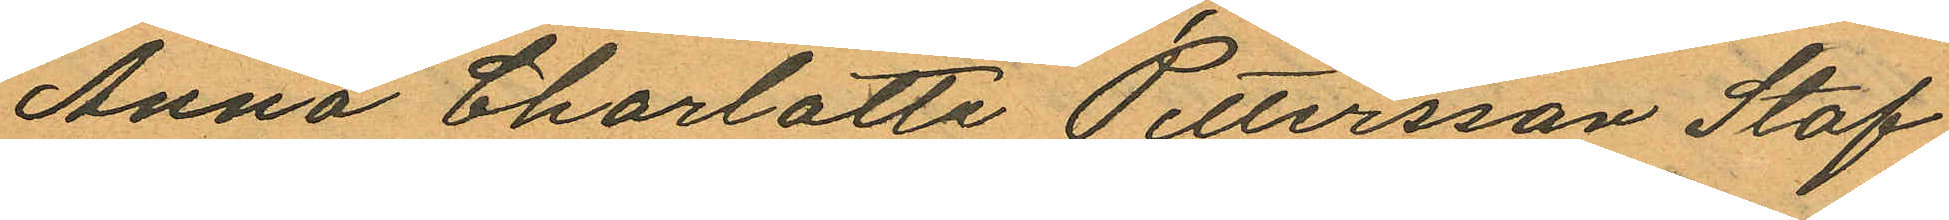Anna Charlotta Pettersson Staf
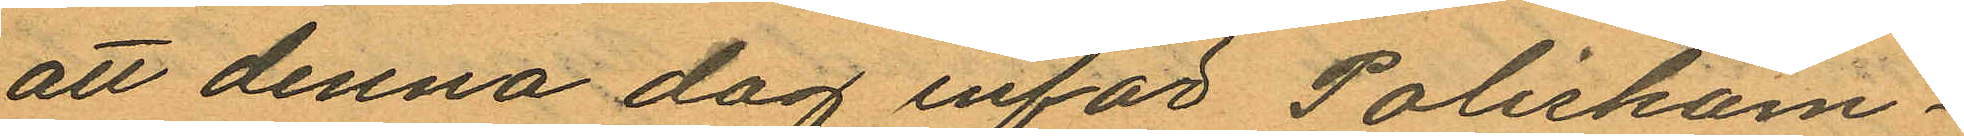att denna dag inför Poliskam¬
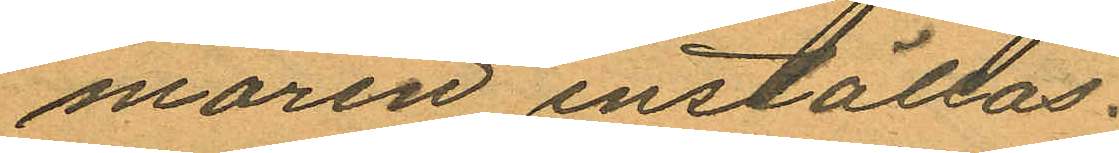maren inställas.
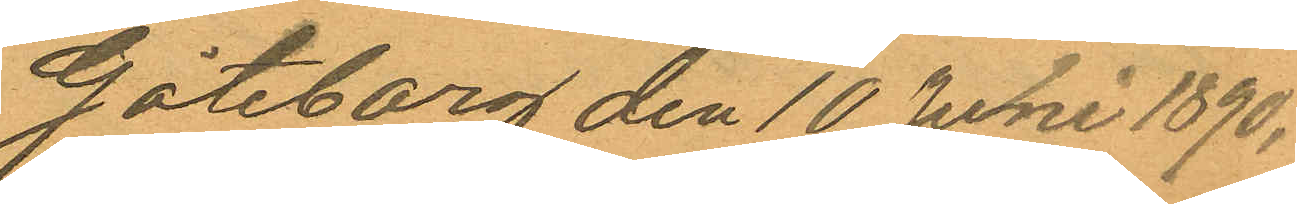Göteborg den 10 Juni 1890.
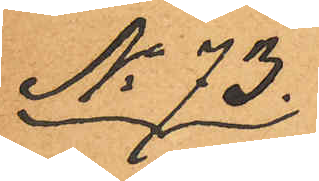No 73.
